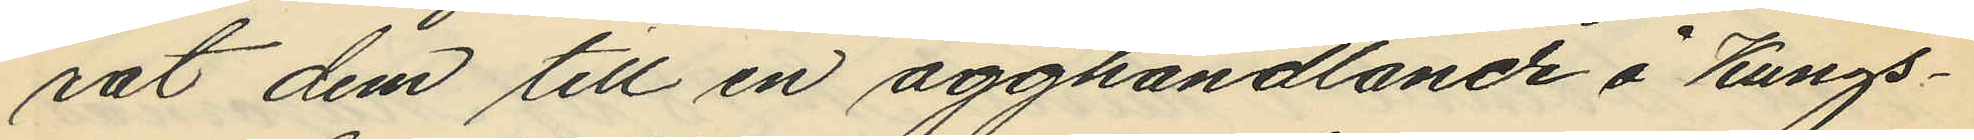rat dem till en ägghandlande å Kungs¬
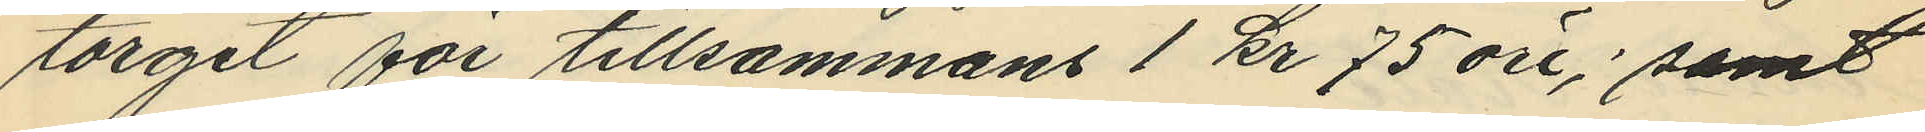torget för tillsammans 1 kr 75 öre; samt
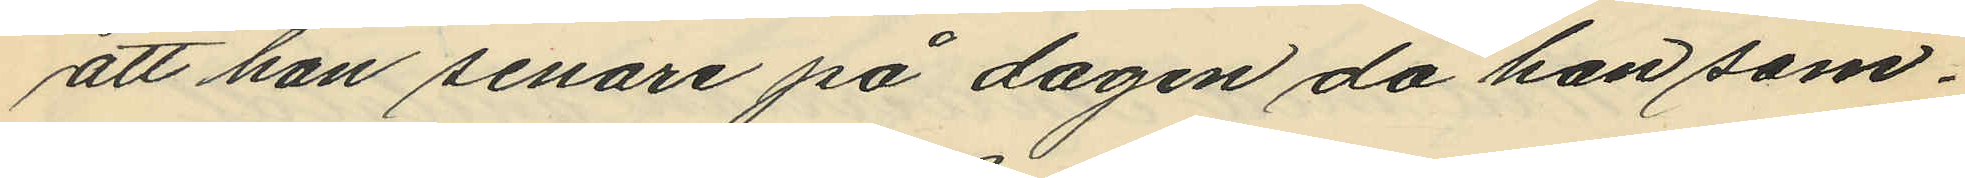att han senare på dagen då han sam¬
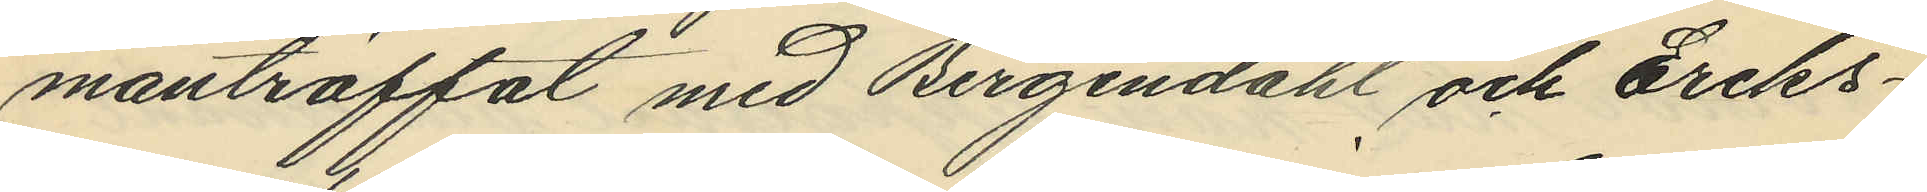manträffat med Bergendahl och Eriks¬
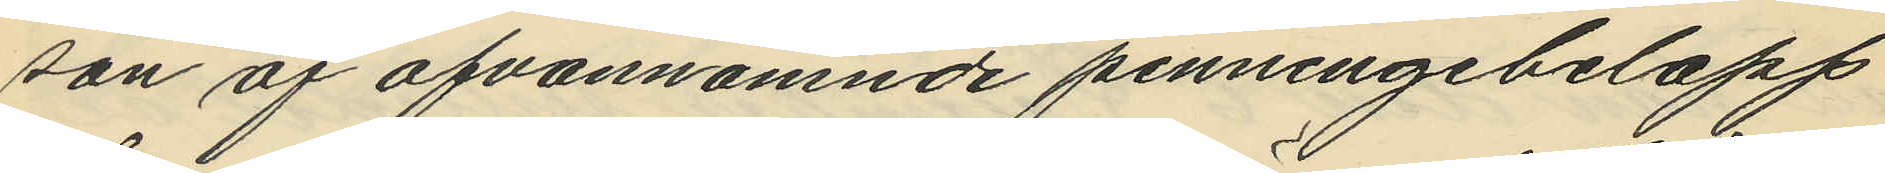son af ofvannämnde penningebelopp
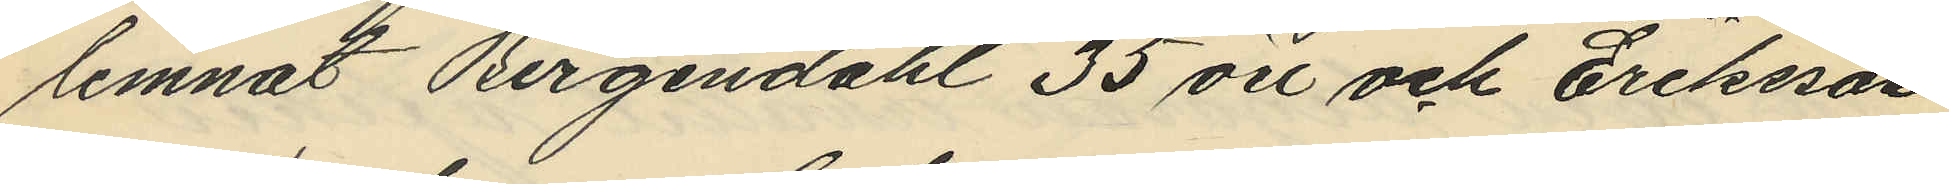lemnat Bergendahl 35 öre och Eriksson
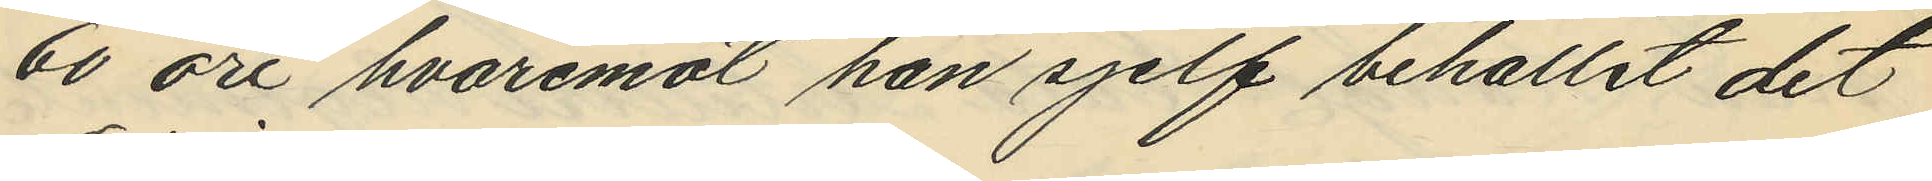60 öre hvaremot han sjelf behållit det
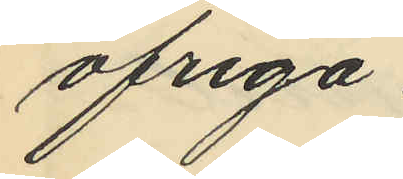öfriga.
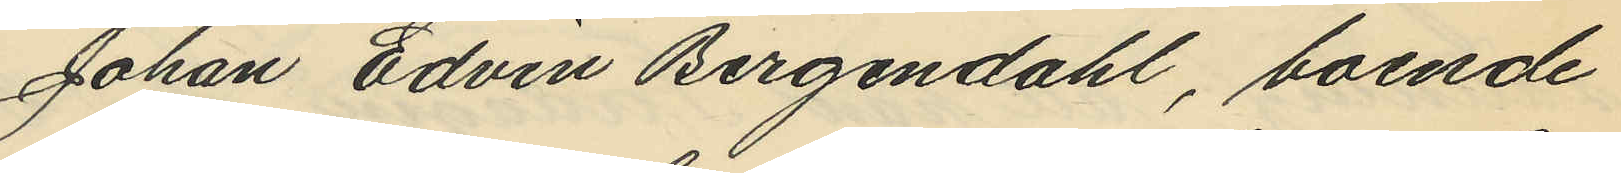Johan Edvin Bergendahl, boende
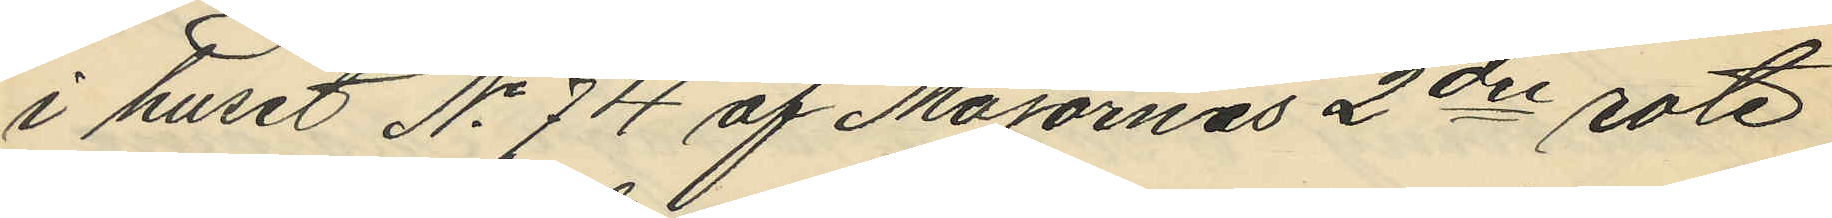i huset No 74 af Majornas 2dre rote
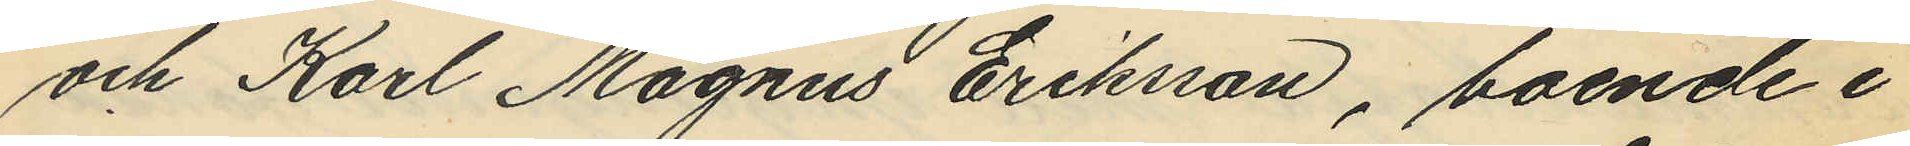och Karl Magnus Eriksson, boende i
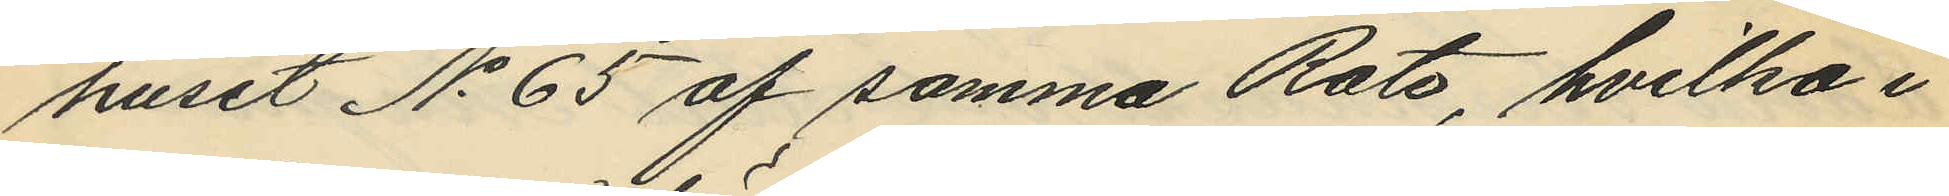huset No 65 af samma Roto, hvilka i
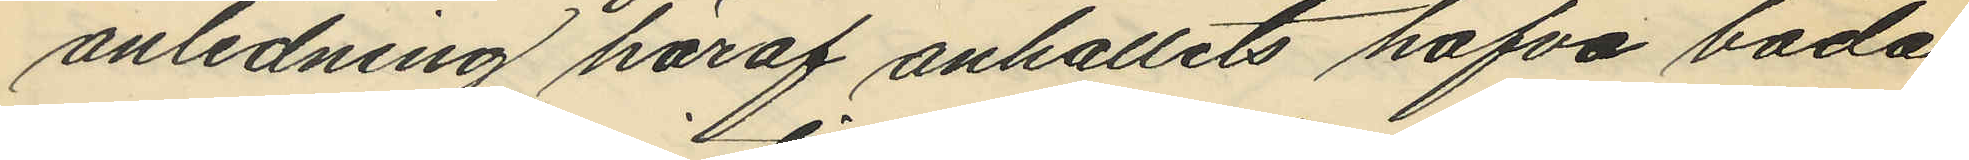anledning häraf anhållits hafva båda
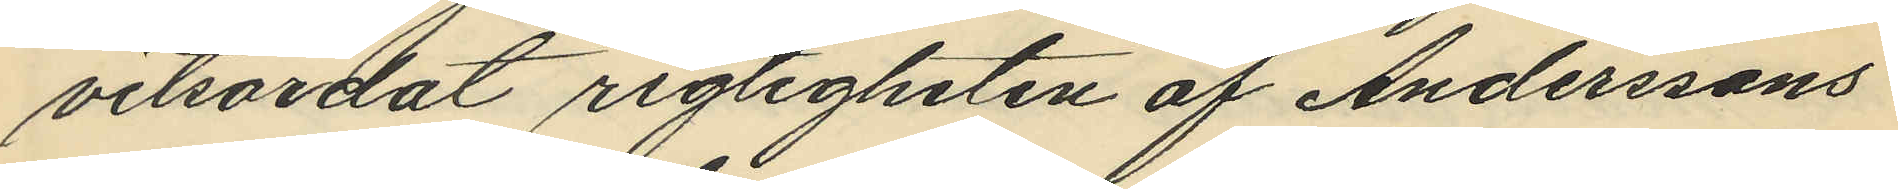vitsordat rigtigheten af Anderssons
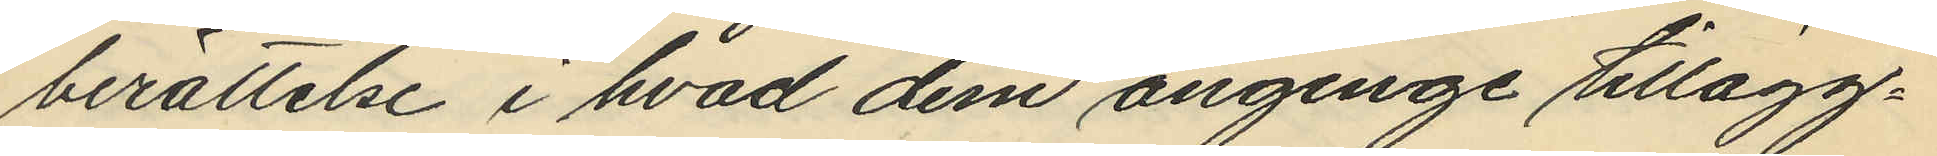berättelse i hvad dem anginge tillägg¬
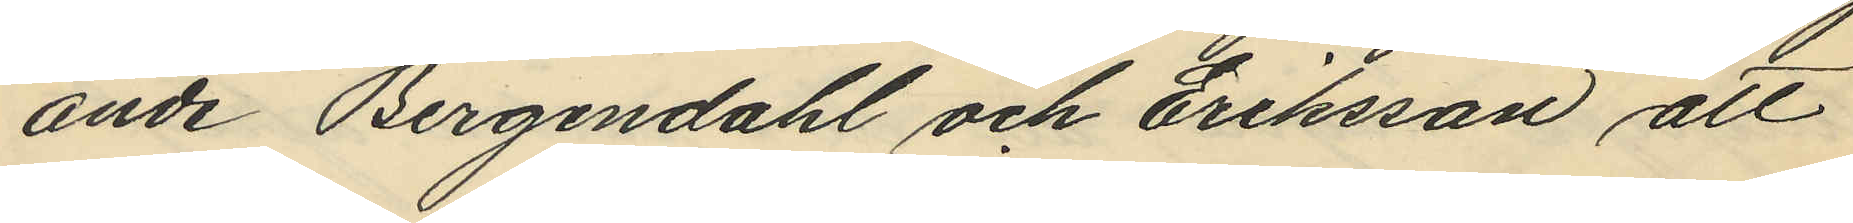ande Bergendahl och Eriksson att
